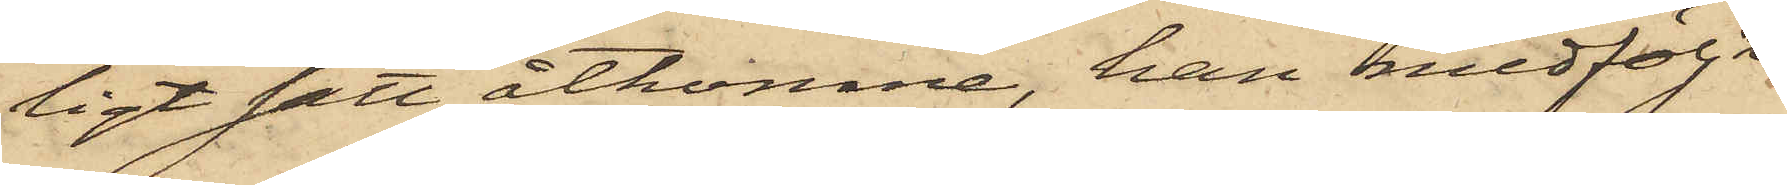ligt sätt åtkomne, han medföljt
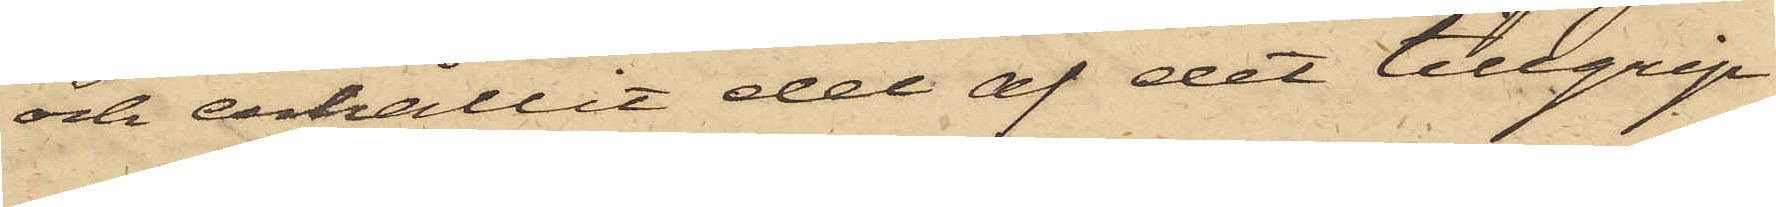och erhållit del af det tillgrip¬
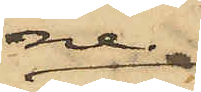ne.
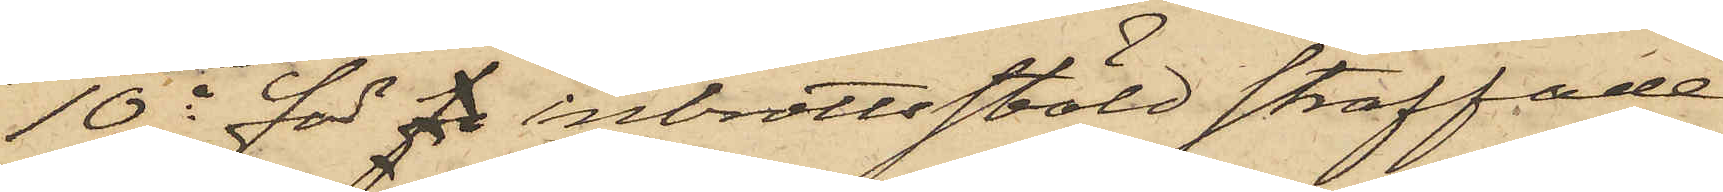10o för f inbrottsstöld straffade
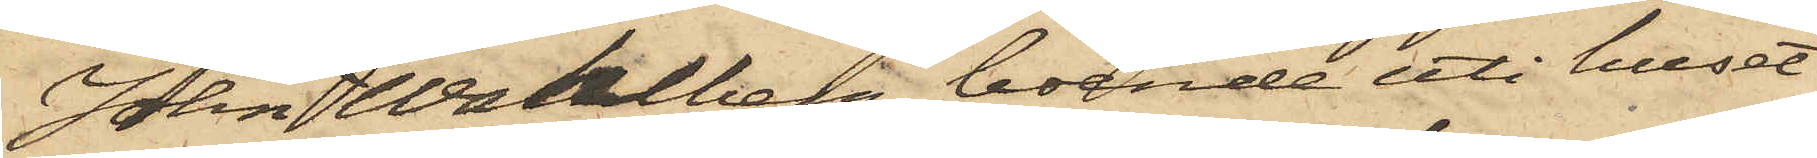John Wahlberg, boende uti huset
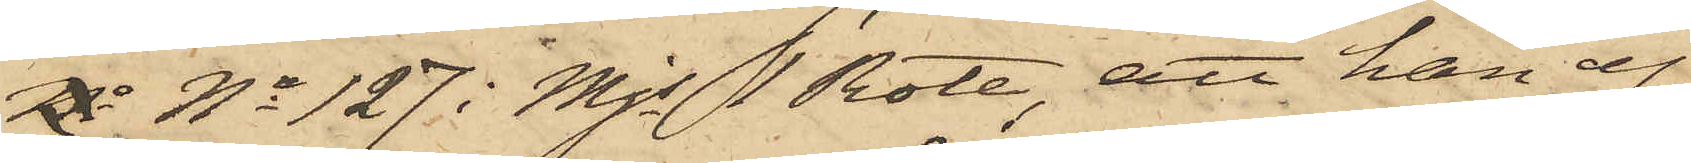 No 127 i Mjs 1 Rote, att han ej
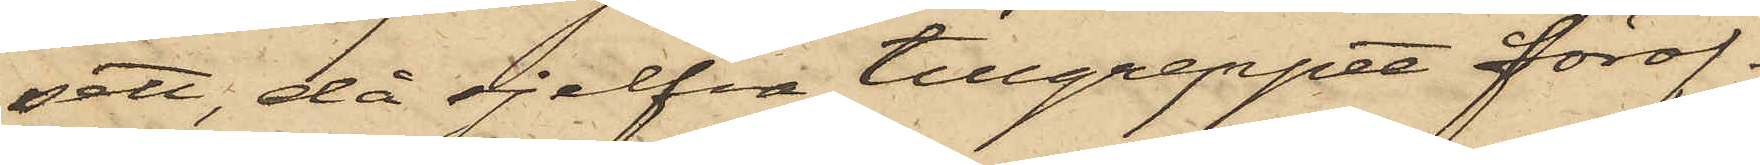sett, då sjelfva tillgreppet föröf¬
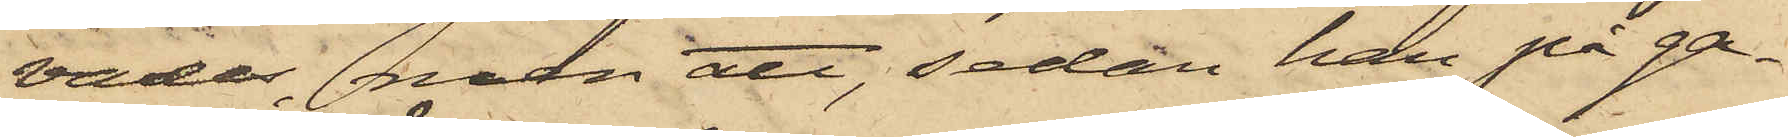vades, men att, sedan han på ga¬
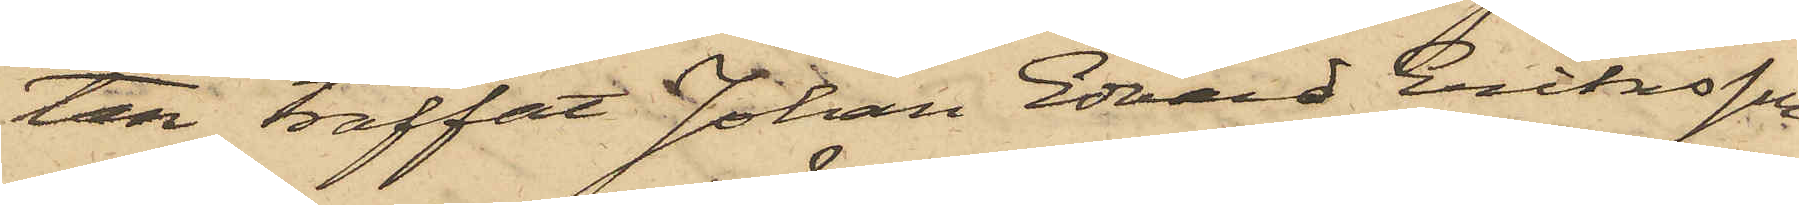tan träffat Johan Edvard Eriksson
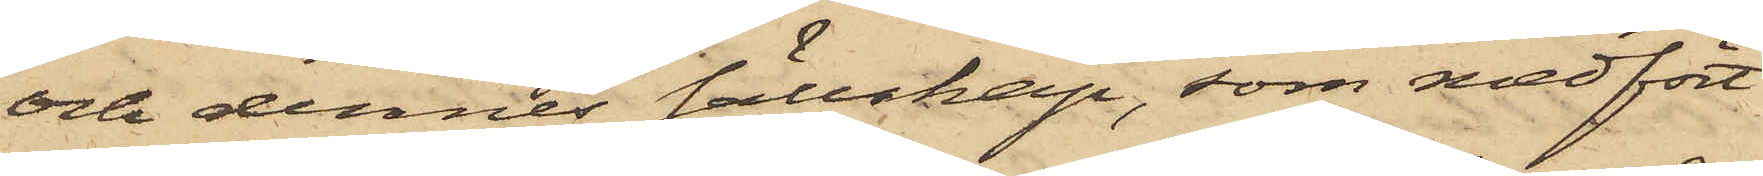och dennes sällskap, som medfört
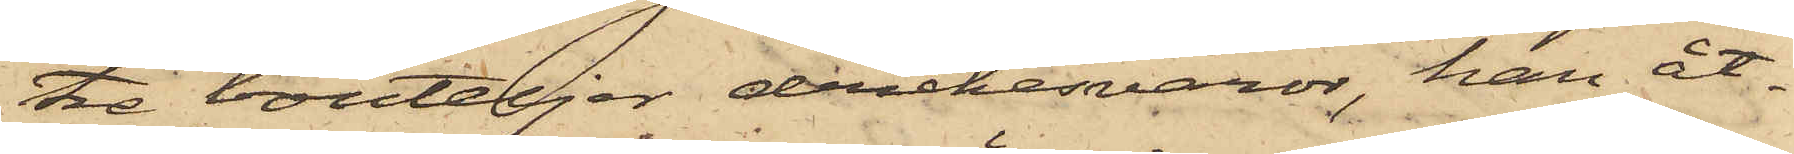tre bouteljer drickesvaror, han åt¬
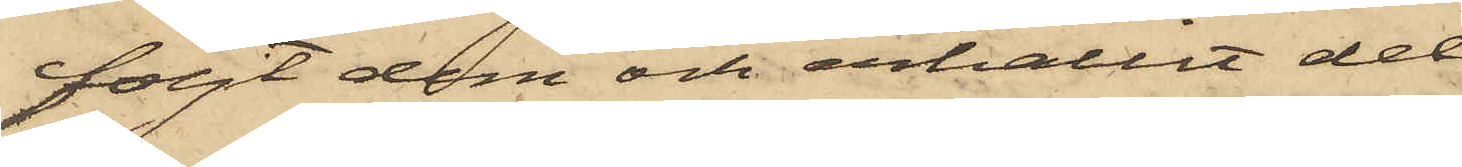följt dem och erhållit del
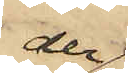der¬
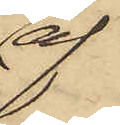af.
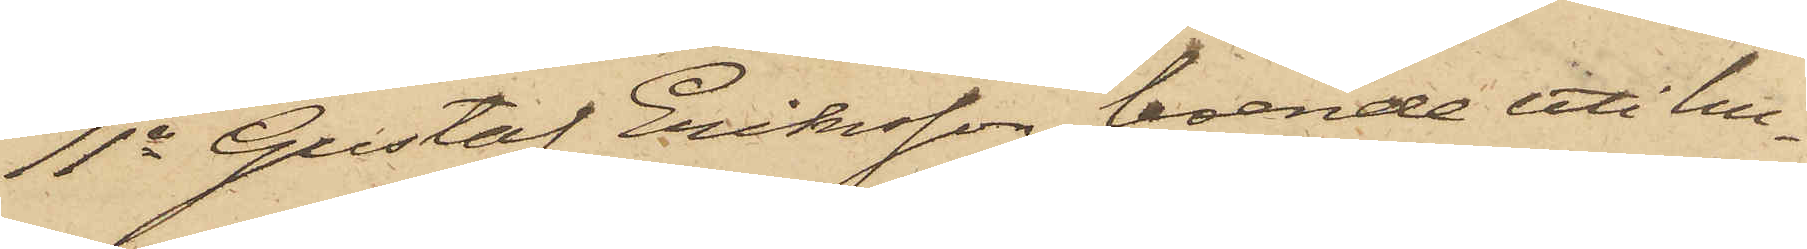11o Gustaf Eriksson, boende uti hu¬
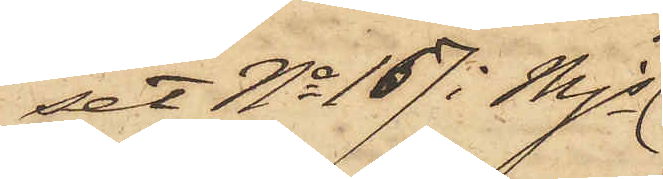set No 167 i Mjs
